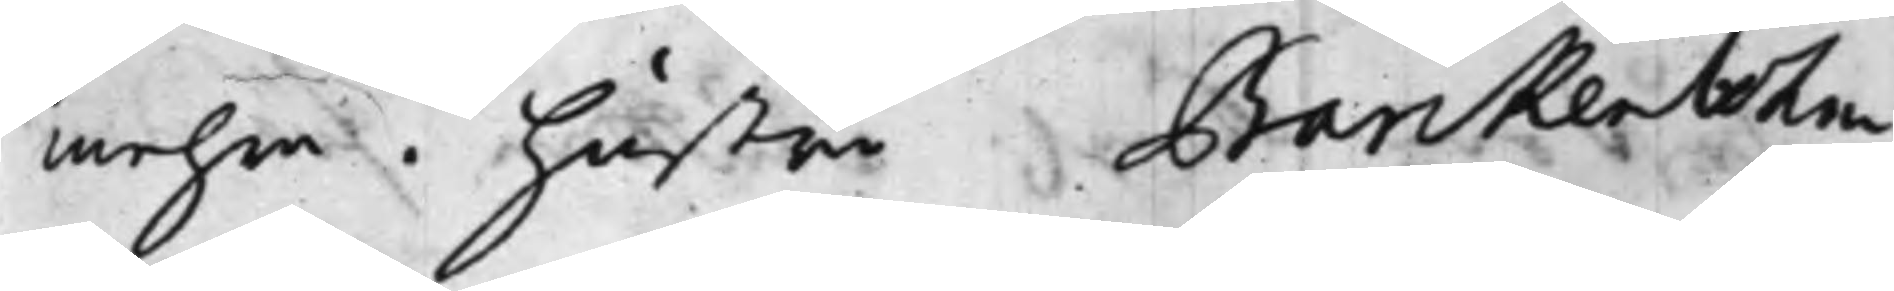mehra. Hustru Barckenbohm
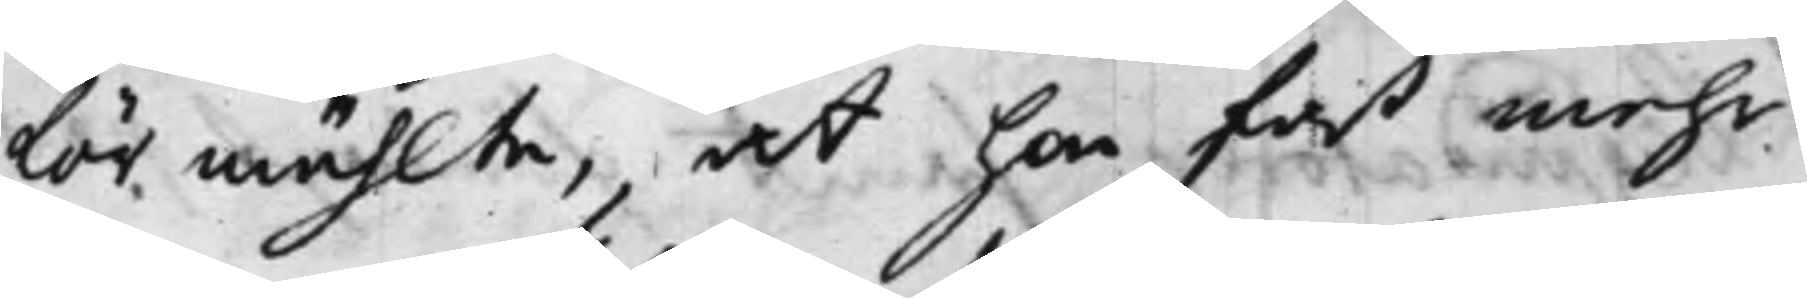förmählte, at hon fast mehr
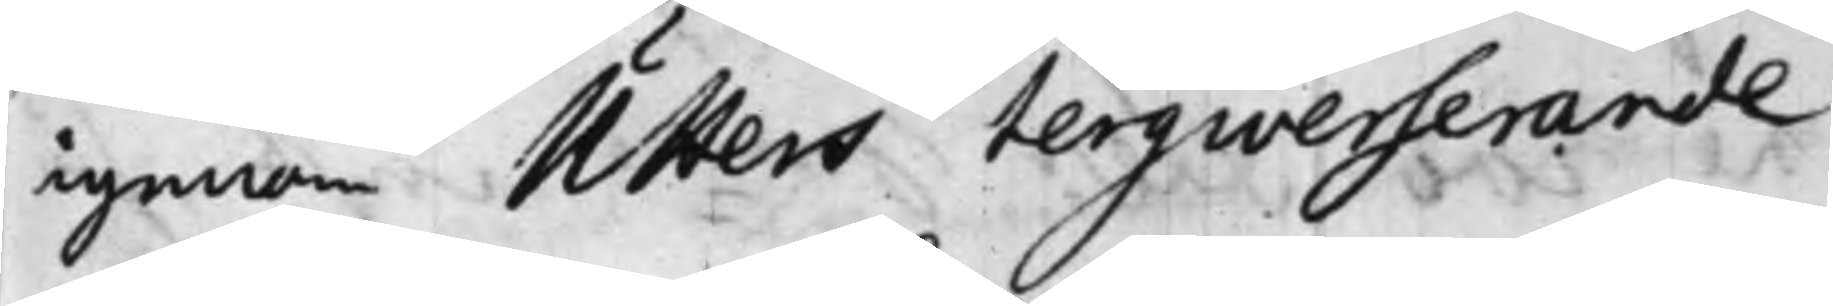igenom Utters Tergiverserande
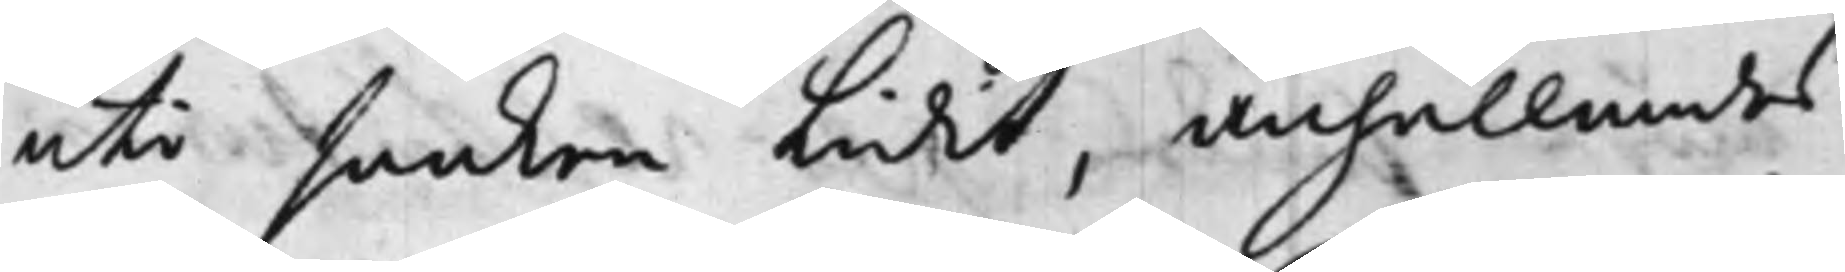uti saaken Lidit, anhållandes
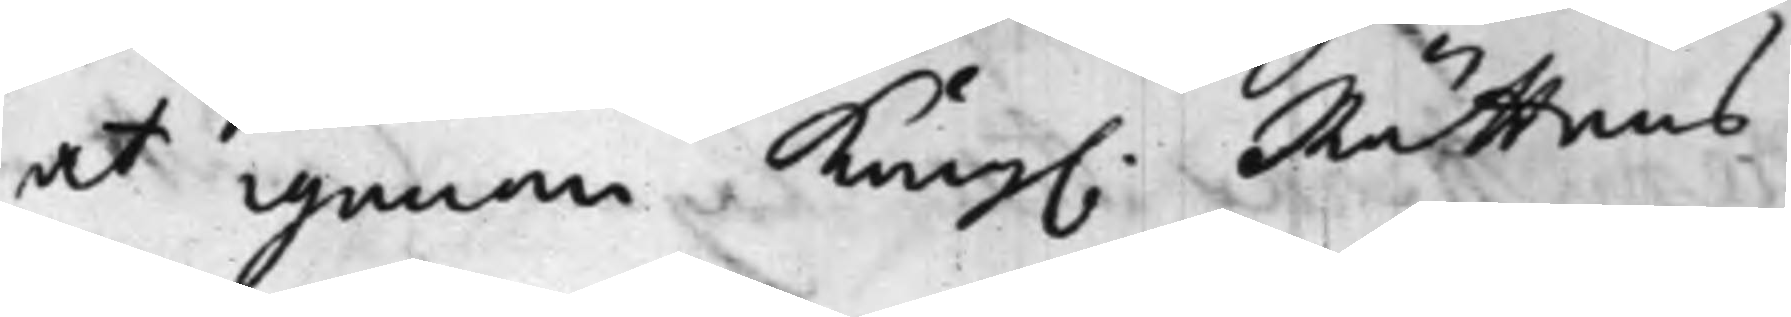at igenom Kong. Rättens
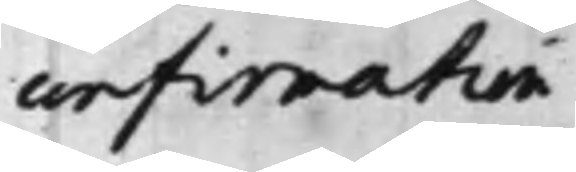confirmation
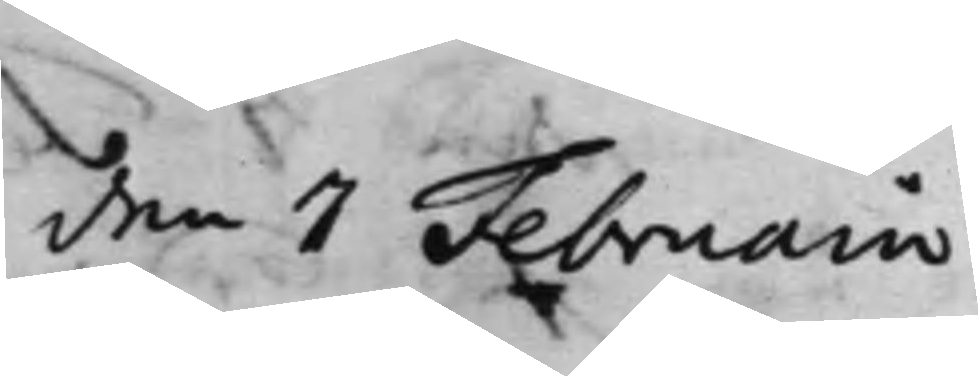den 7 Februarii
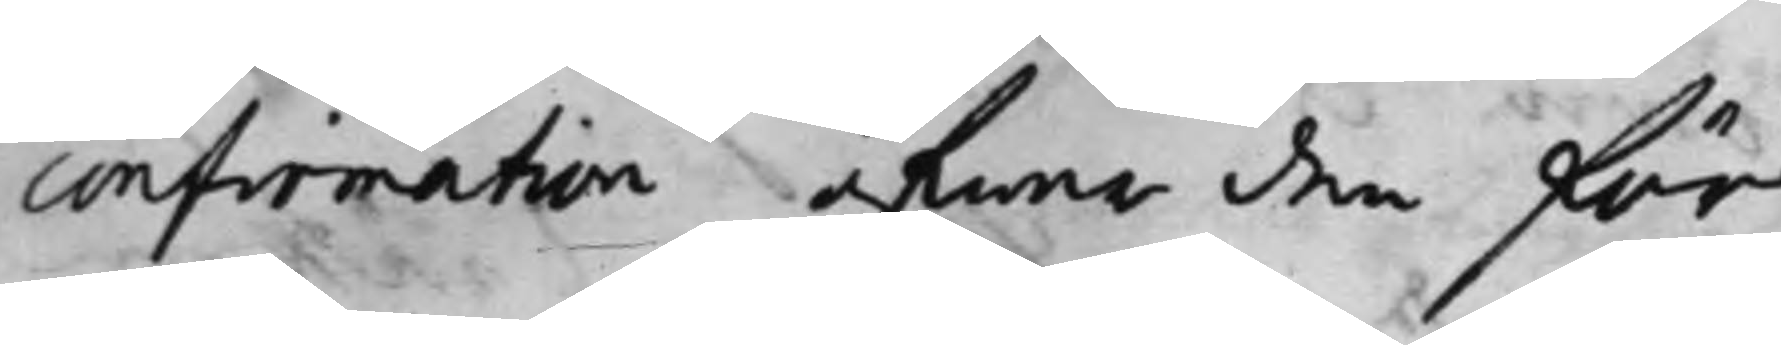confirmation öfwer den för¬
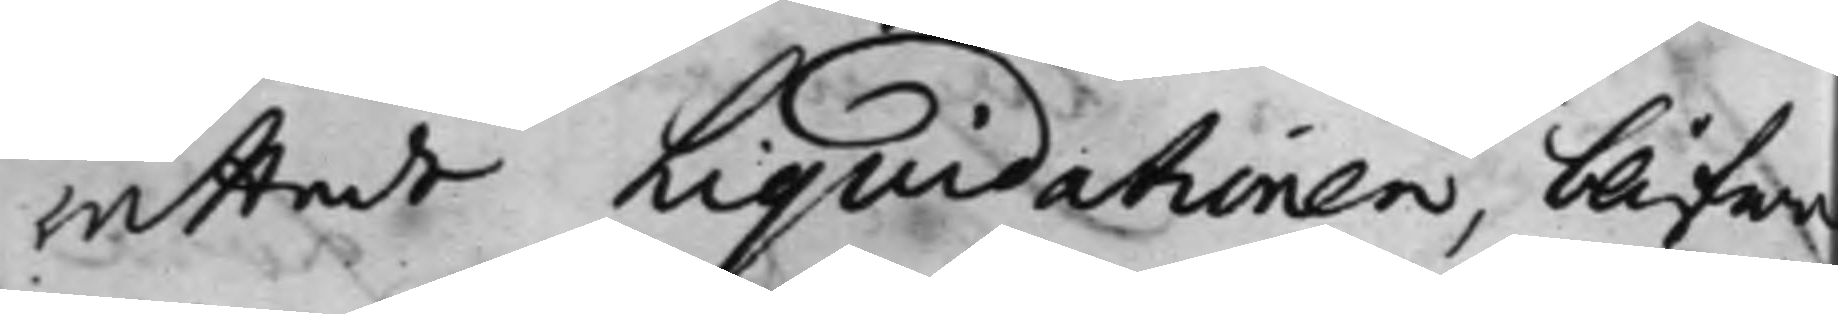rättade Liqvidationen, blifwe
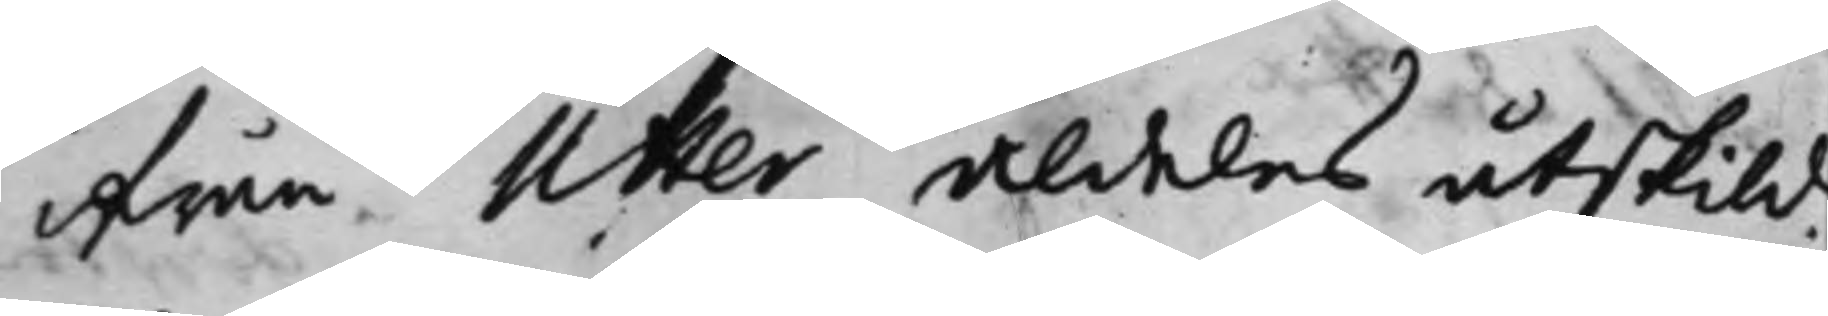ifrån Utter aldeles åtskild.
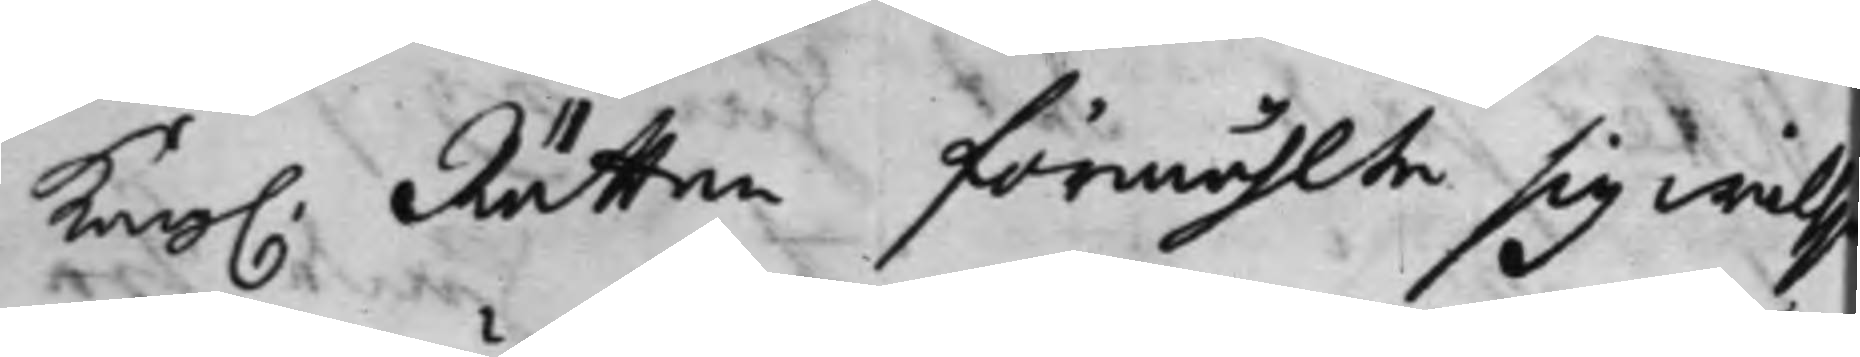Kong. Rätten förmählte sig willj
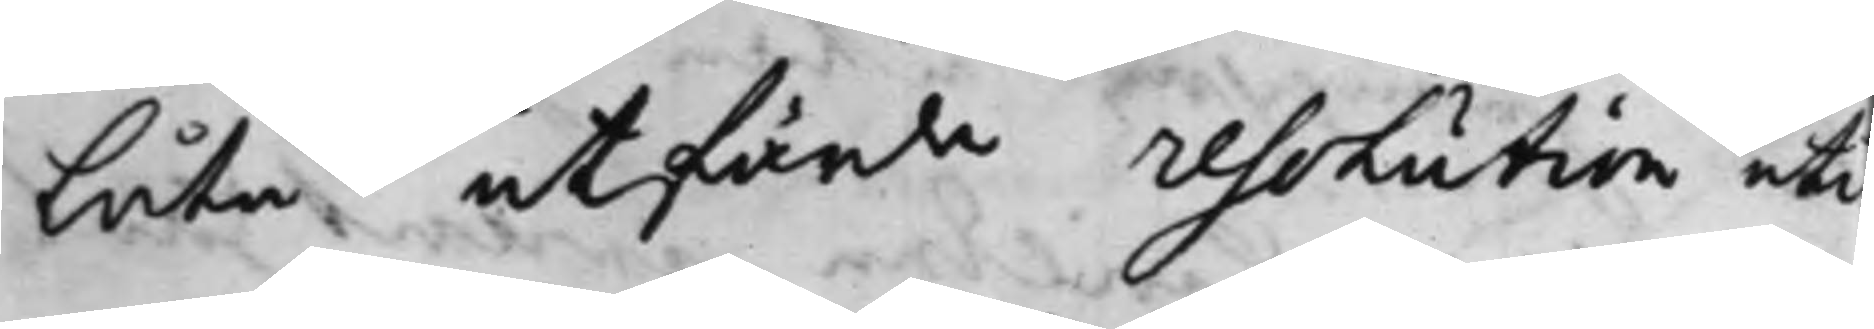låta utfärda resolution uti
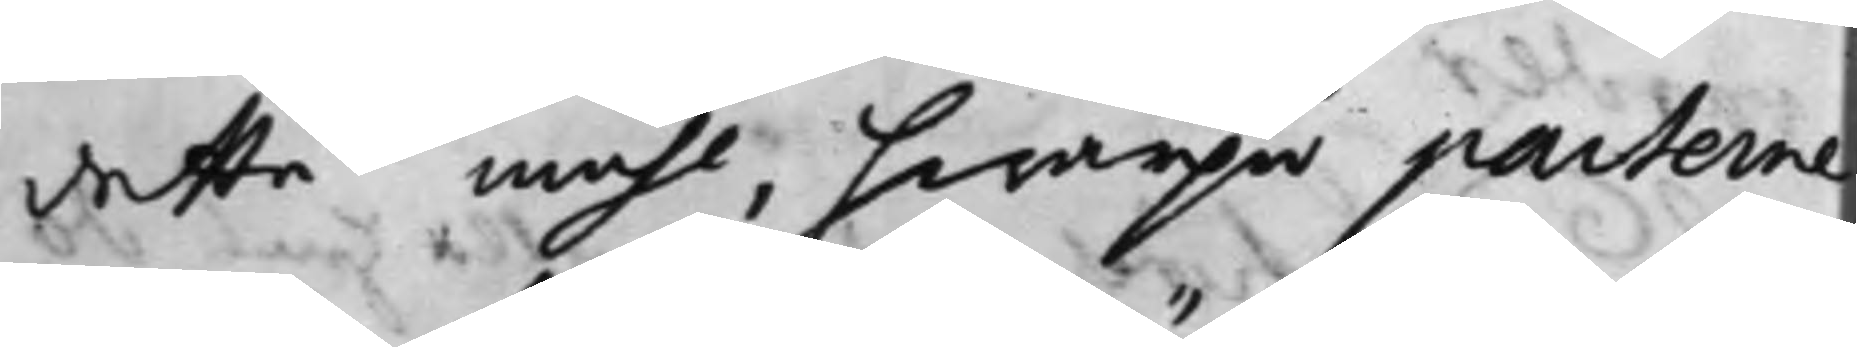detta måhl, hwarpå parterne
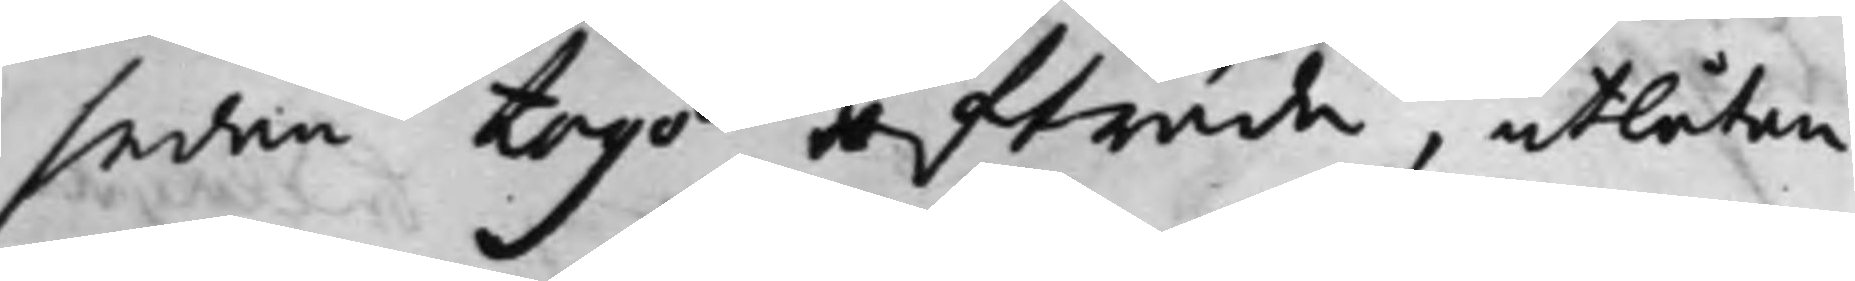sedan togo afträde, utlåtan¬
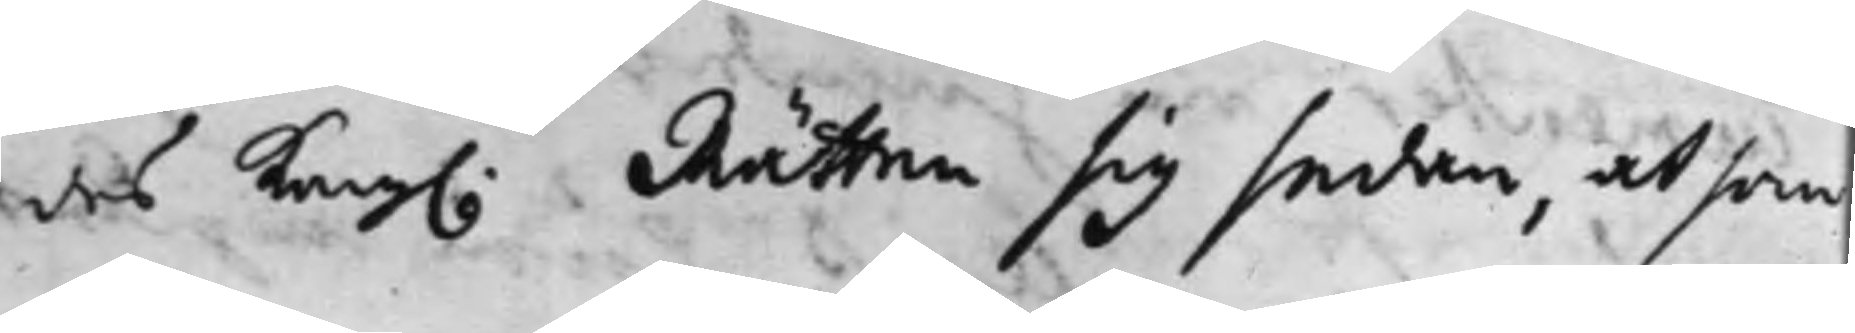des Kong. Rätten sig sedan, at som
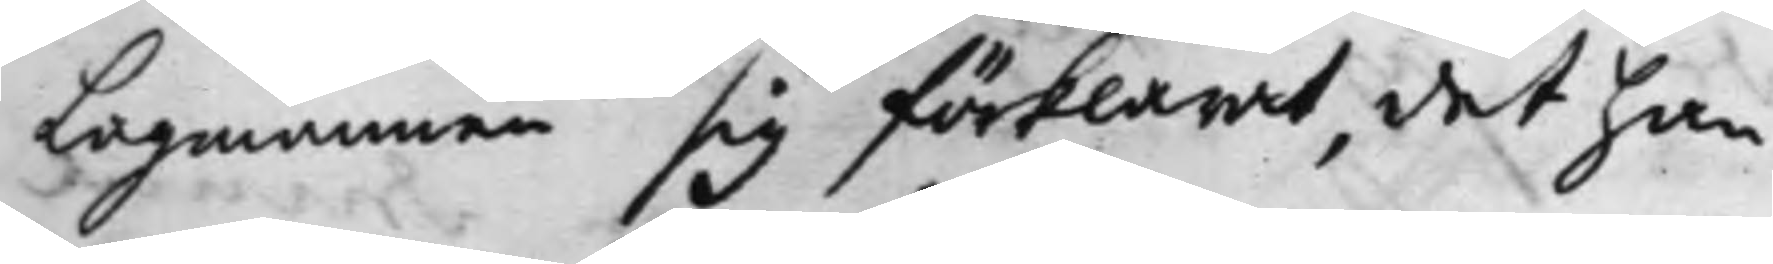Lagmannen sig förklarat, det han
